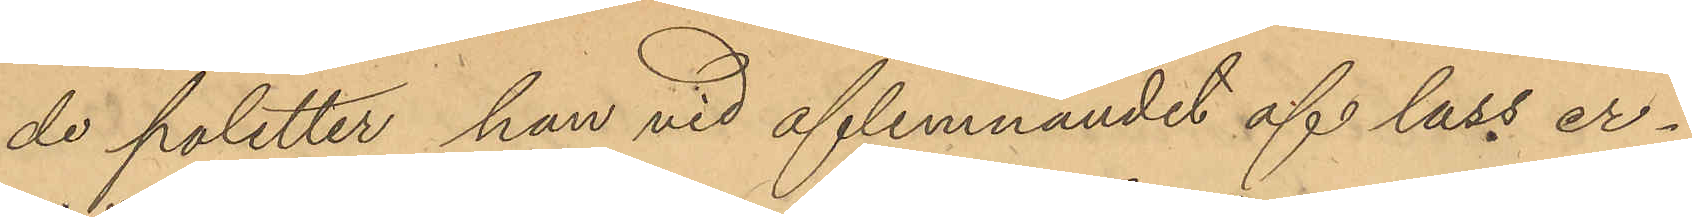de poletter han vid aflemnandet af lass er¬
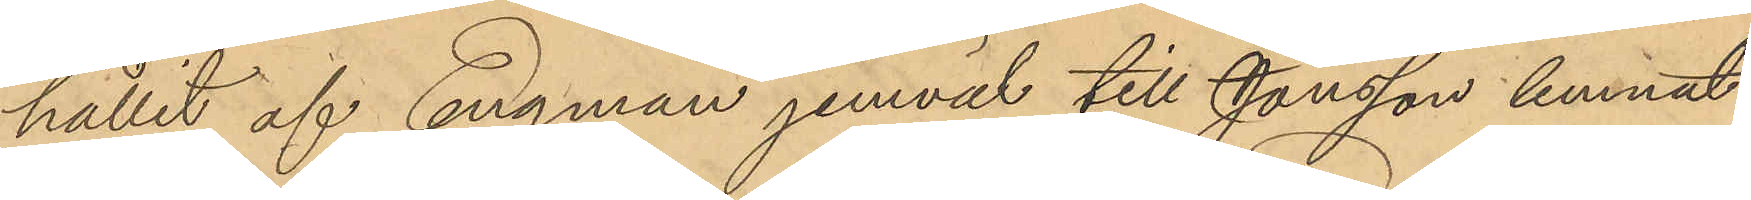hållit af Engman jemväl till Jonsson lemnat
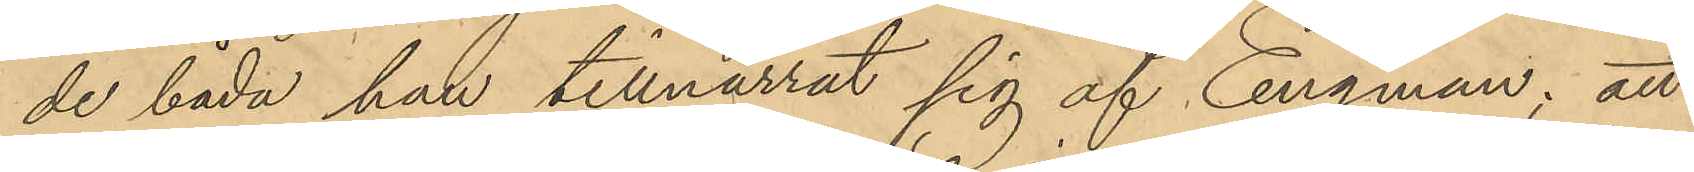de båda han tillnarrat sig af Engman; att
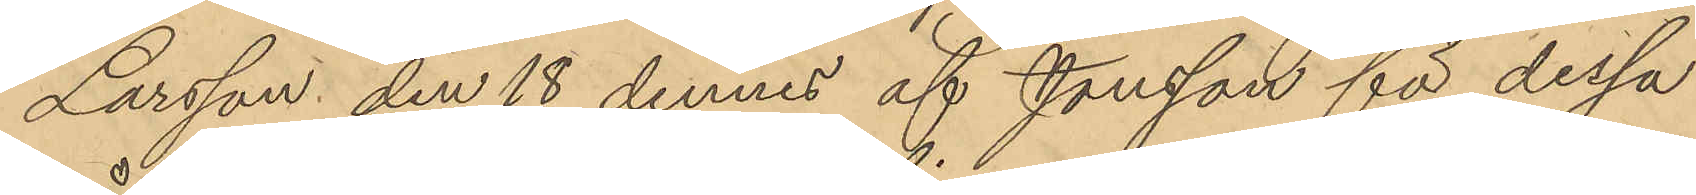Larsson den 18 dennes af Jonsson för dessa
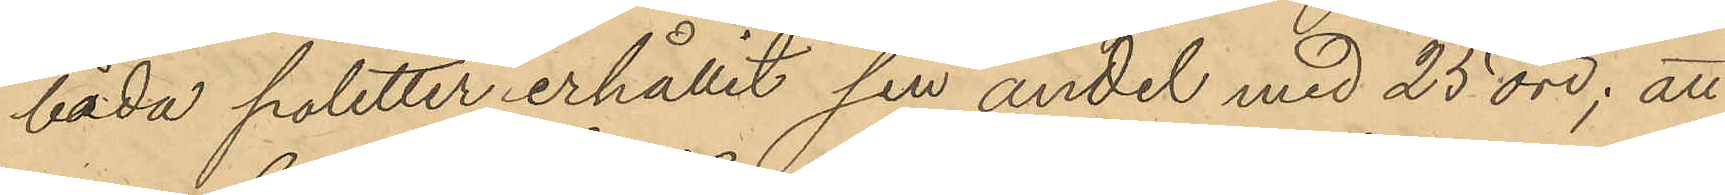båda poletter erhållit sin andel med 25 öre; att
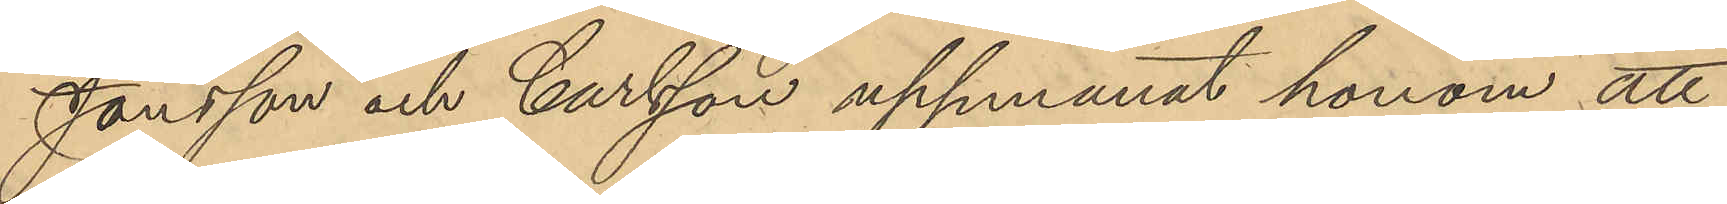Jansson och Carlsson uppmanat honom att
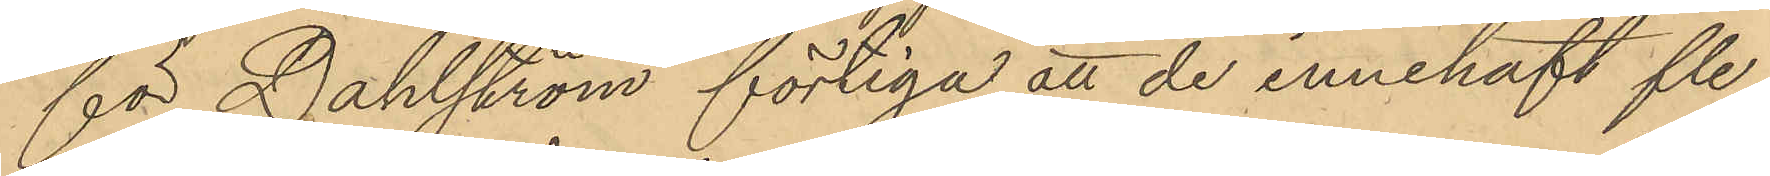för Dahlström förtiga att de innehaft fle¬
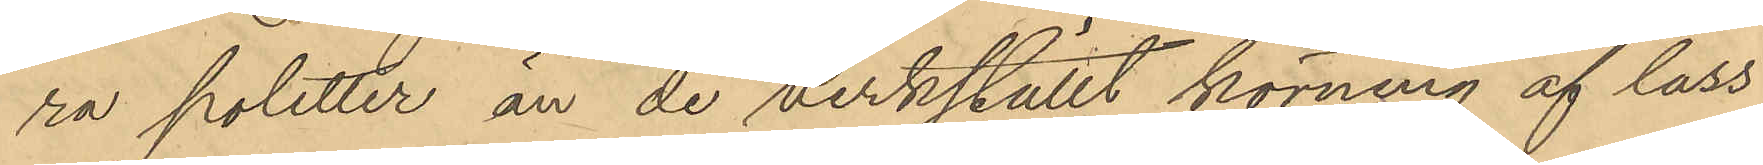ra poletter, än de verkställt körning af lass
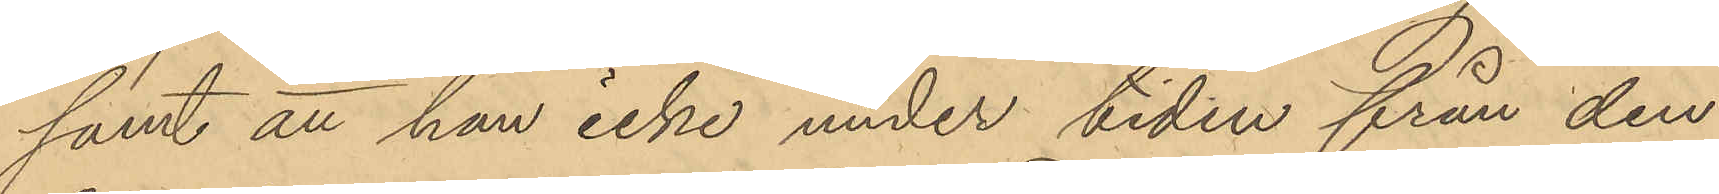samt att han icke under tiden från den
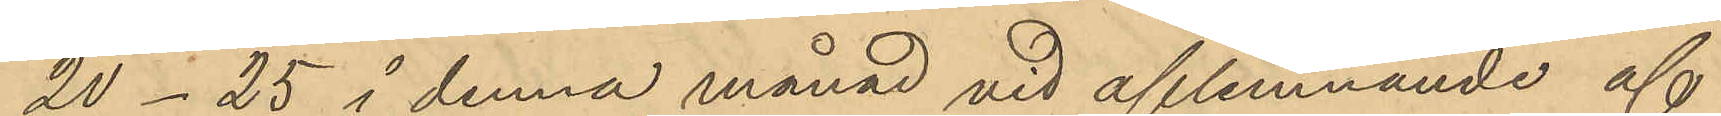20 - 25 i denna månad vid aflemnande af
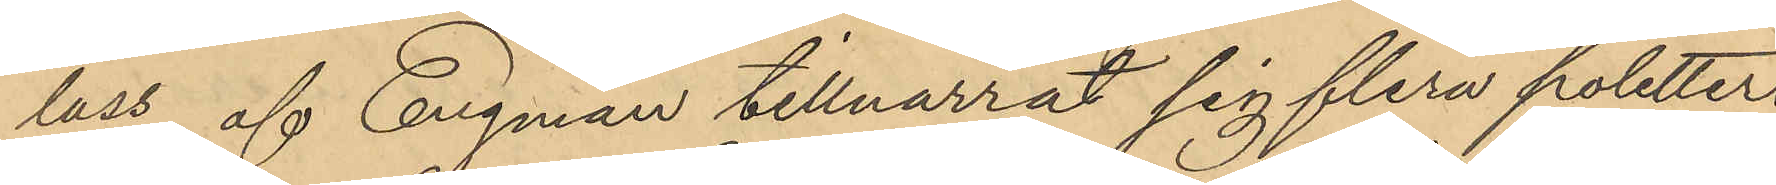lass af Engman tillnarrat sig flera poletter.
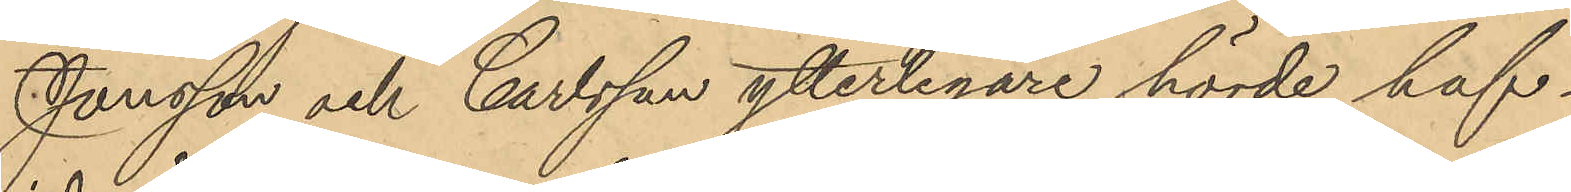Jonsson och Carlsson ytterligare hörde haf¬
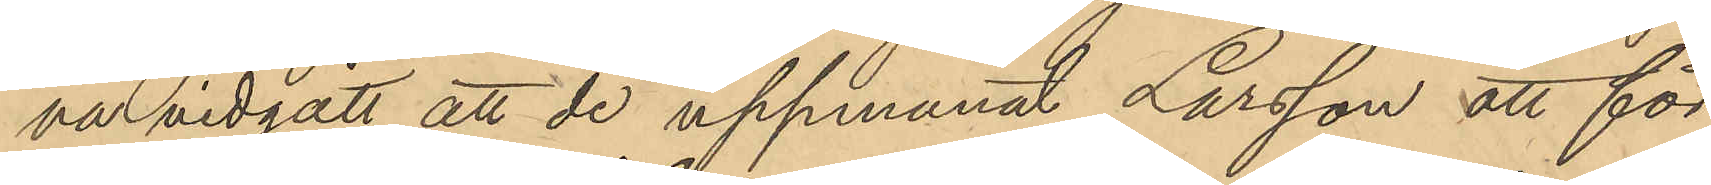va vidgått, att de uppmanat Larsson att för
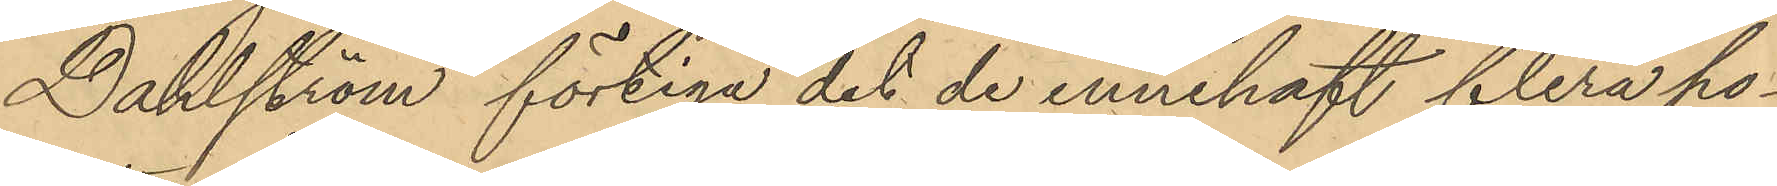Dahlström förtiga det de innehaft flera po¬
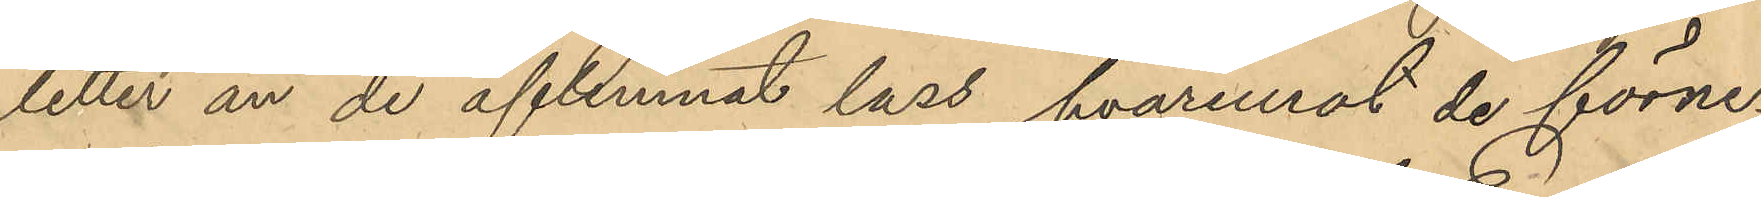letter än de aflemnat lass, hvaremot de förne¬
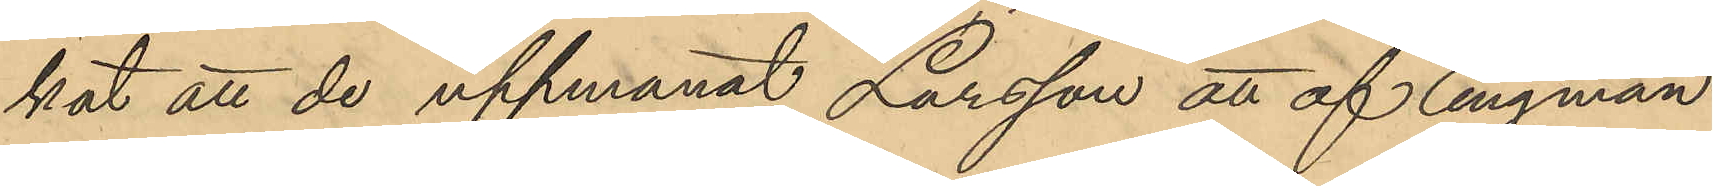kat att de uppmanat Larsson att af Engman
